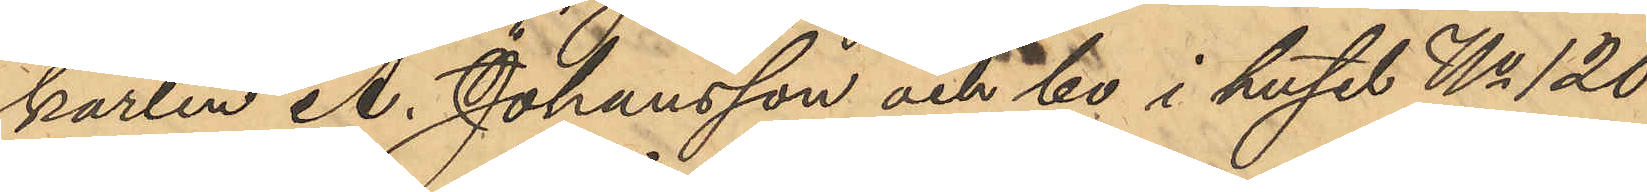karlen A. Johansson och bo i huset No 120
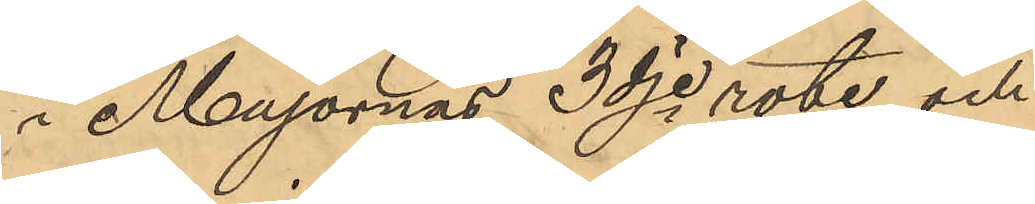i Majornas 3dje rote och
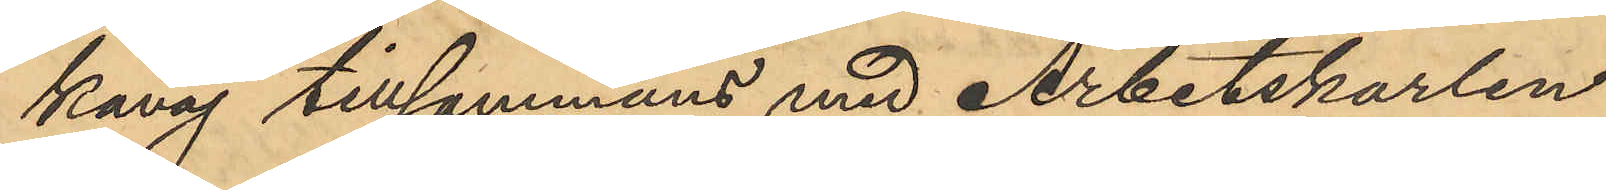kavaj tillsammans med Arbetskarlen
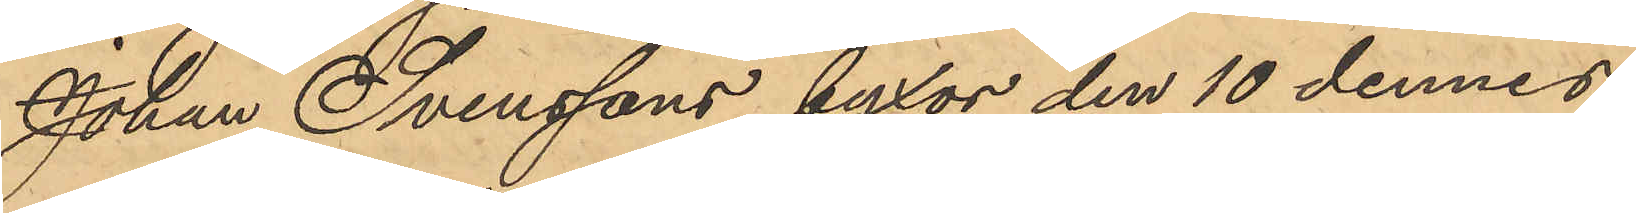Johan Svenssons byxor den 10 dennes
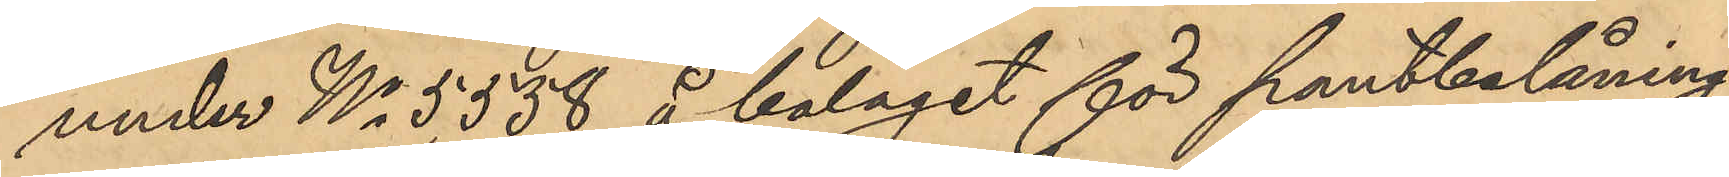under No 5,538 å bolaget för pantbelåning 
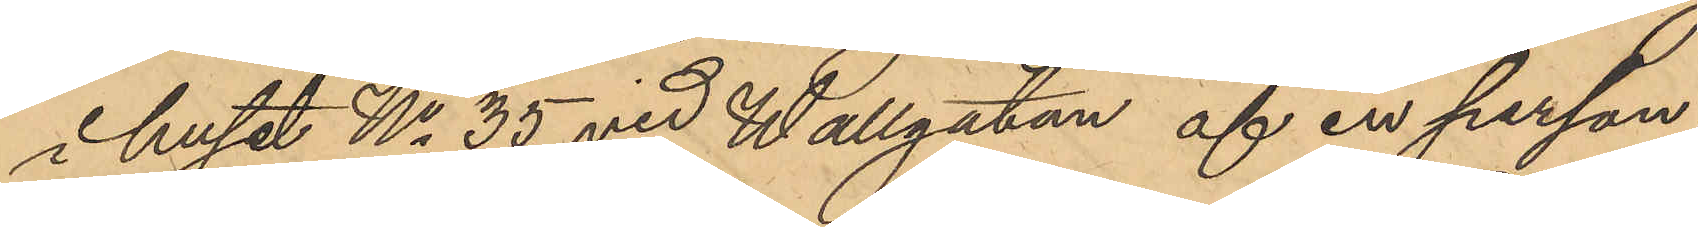i huset No 35 vid Wallgatan af en person
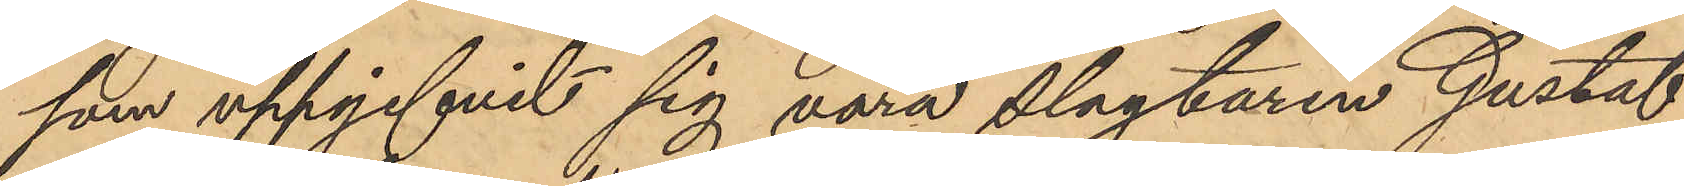som uppgifvit sig vara slagtaren Gustaf
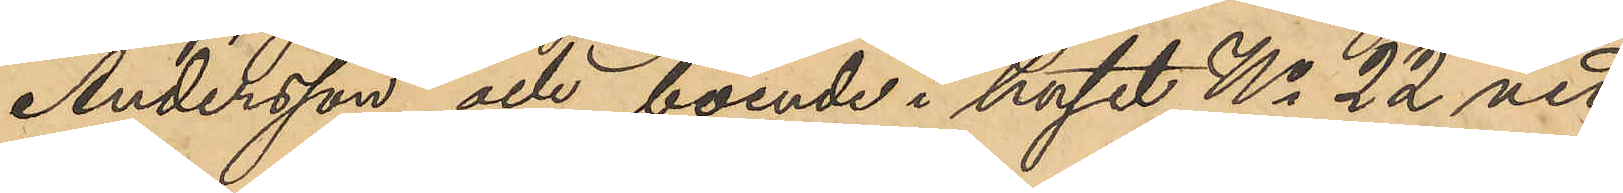Andersson och boende i huset No 22 vid
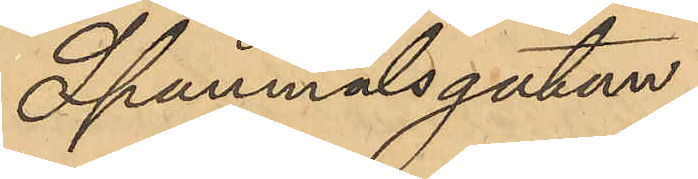Spannmålsgatan.
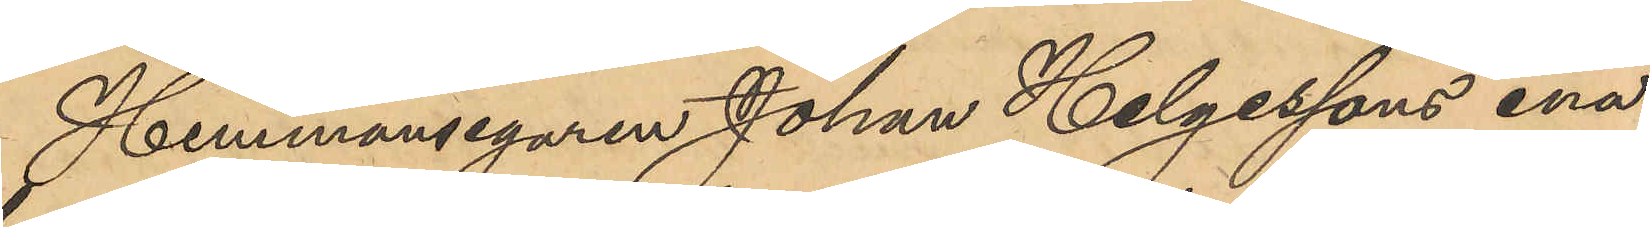Hemmansegaren Johan Helgessons ena
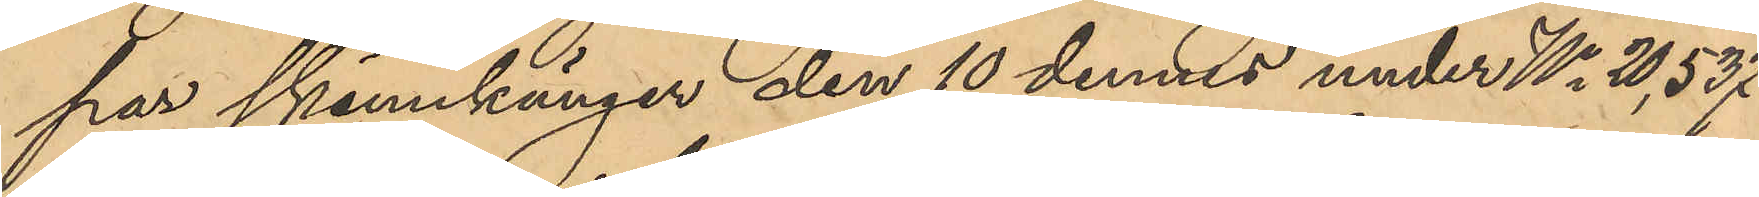par skinnkänger den 10 dennes under No 20,537
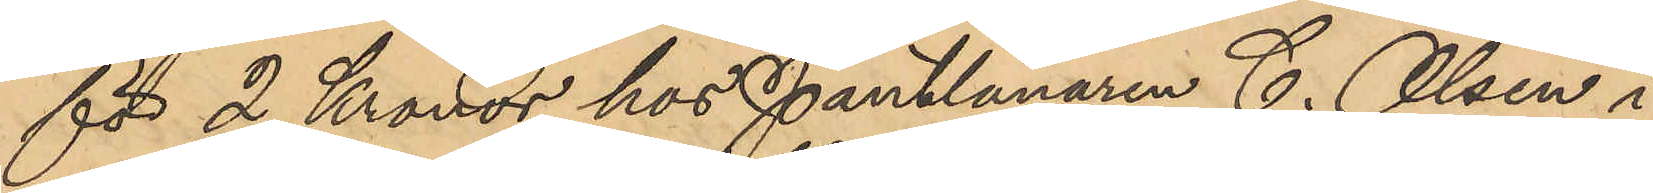för 2 Kronor hos Pantlånaren C. Olsen i
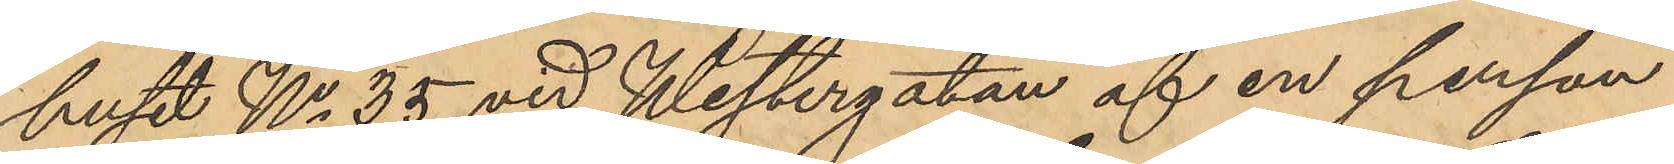huset No 35 vid Westergatan af en person
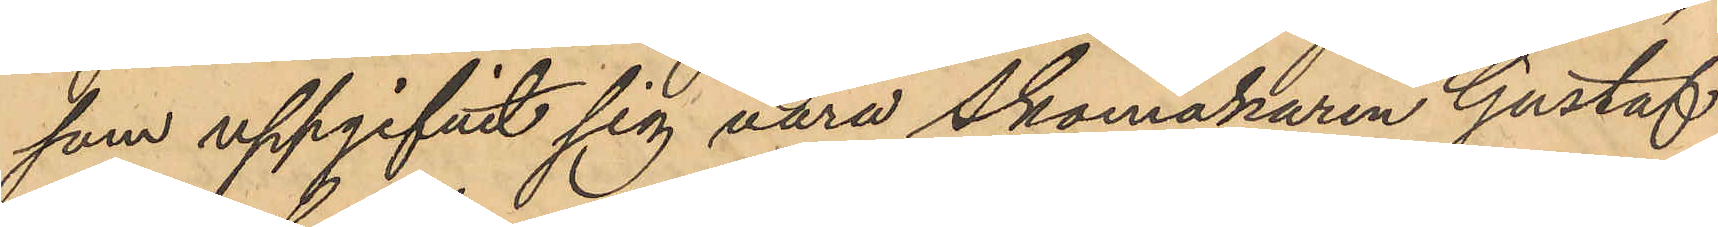som uppgifvit sig vara skomakaren Gustaf
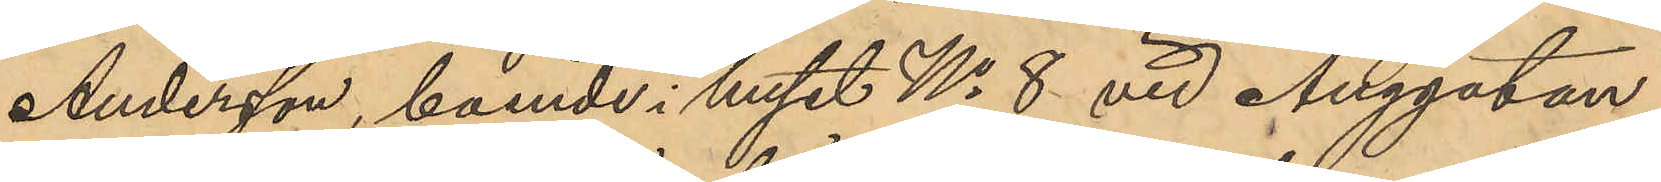Andersson, boende i huset No 8 vid Änggatan
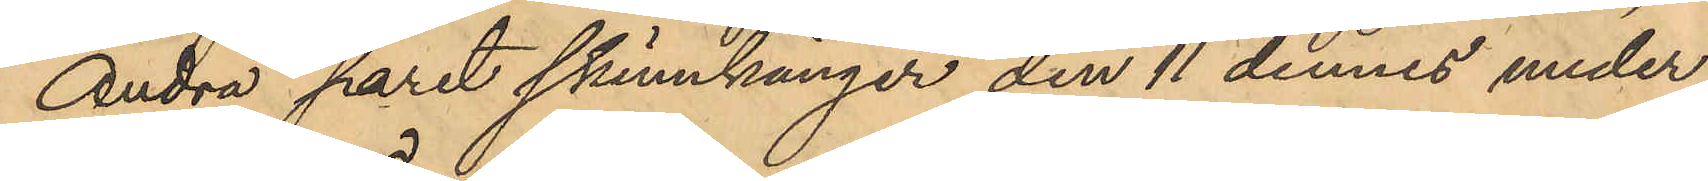Andra paret skinnkänger den 11 dennes under
